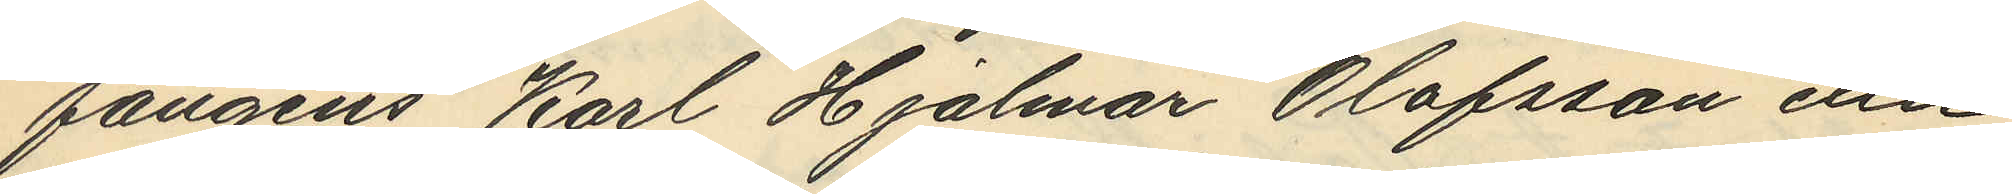fångens Karl Hjalmar Olofsson eller
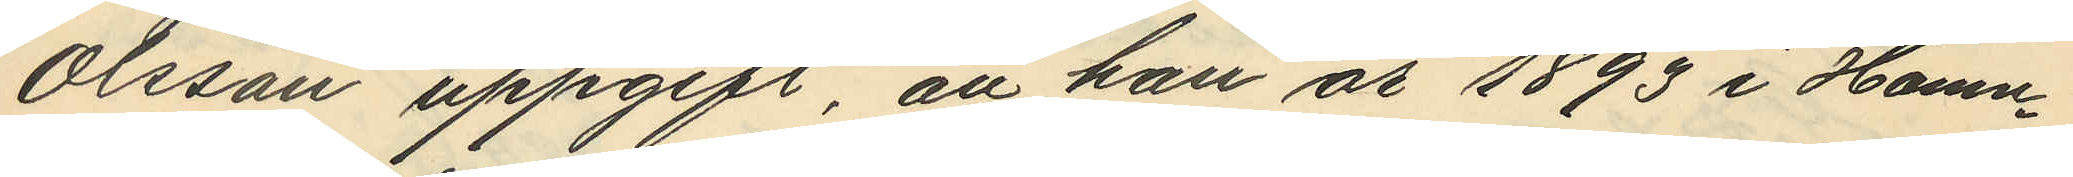Olsson uppgift, att han år 1893 i Hamn¬
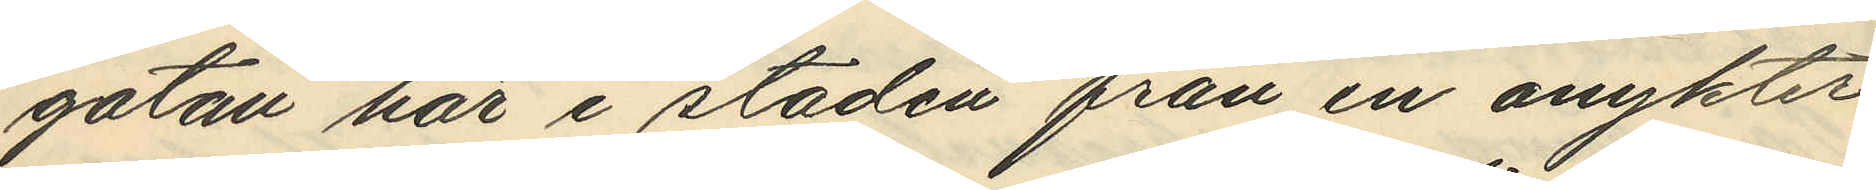gatan här i staden från en onykter
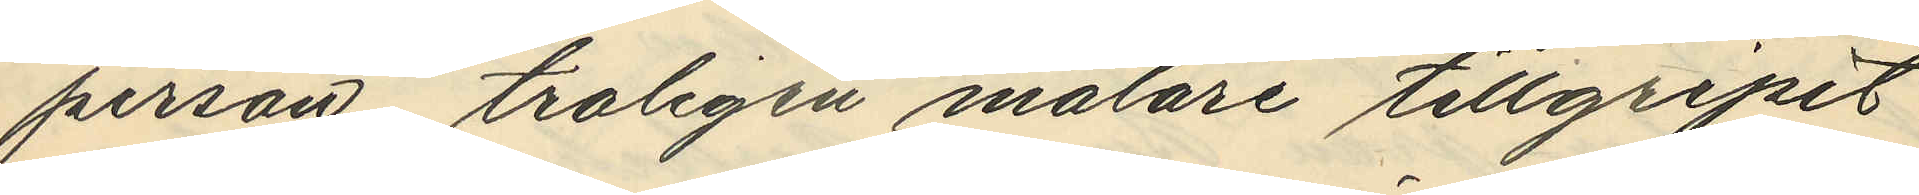person, troligen målare tillgripit
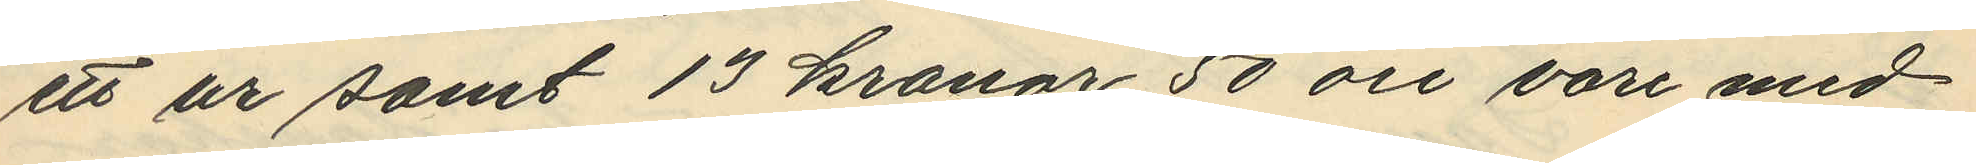ett ur samt 13 kronor 50 öre vari med
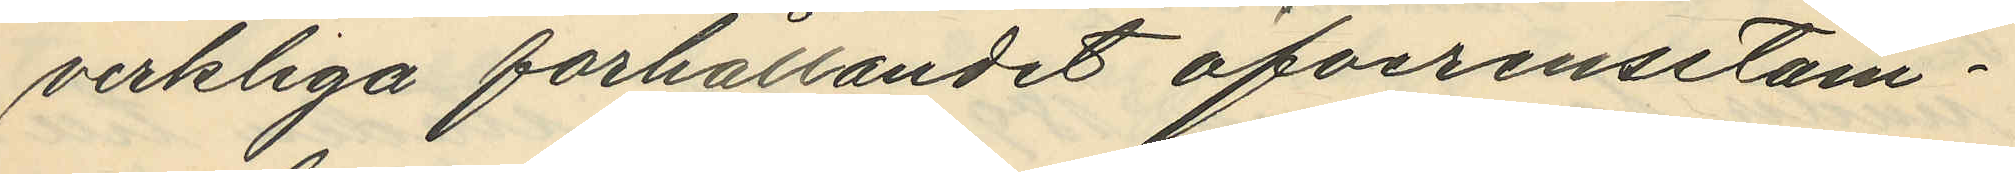verkliga förhållandet öfverensetäm¬
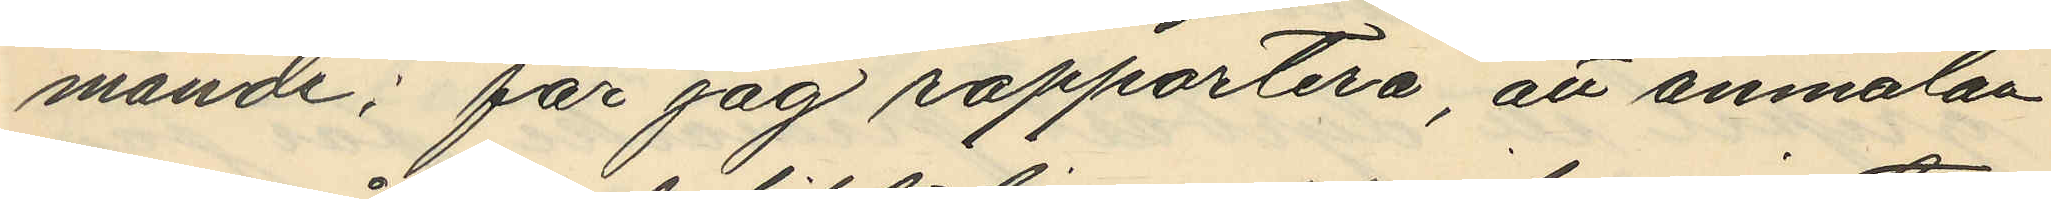mande; får jag rapportera, att anmälan
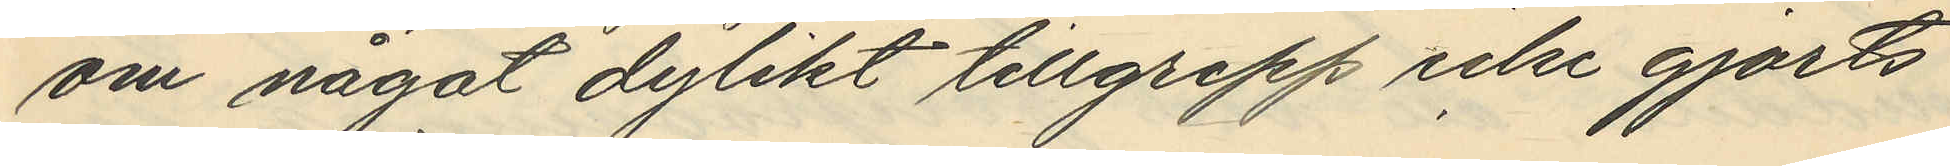om något dylikt tillgrepp icke gjorts
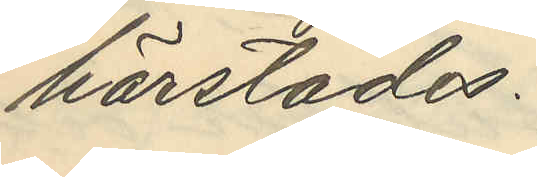härstädes.
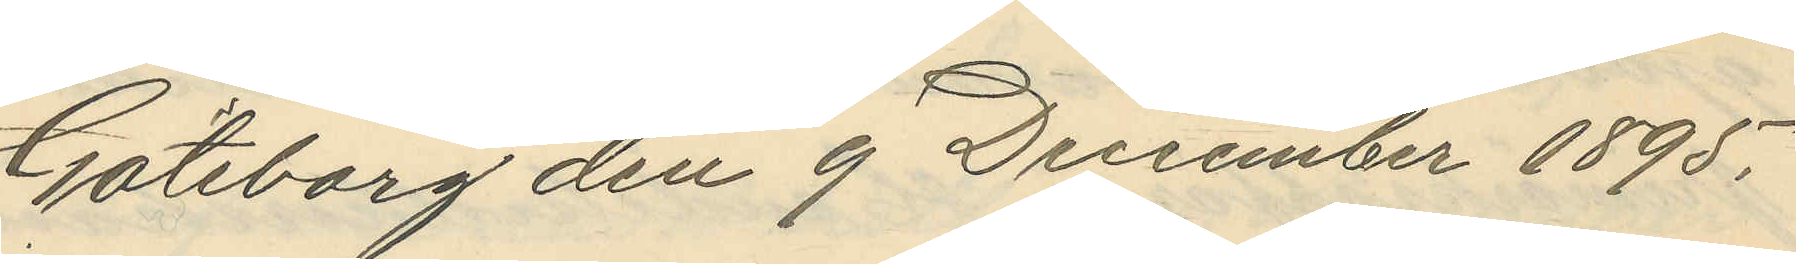Göteborg den 9 December 1895.
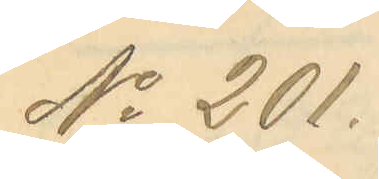No 201.
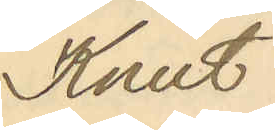Knut
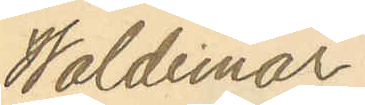Waldemar
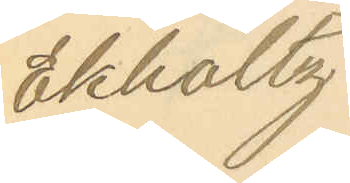Ekholtz
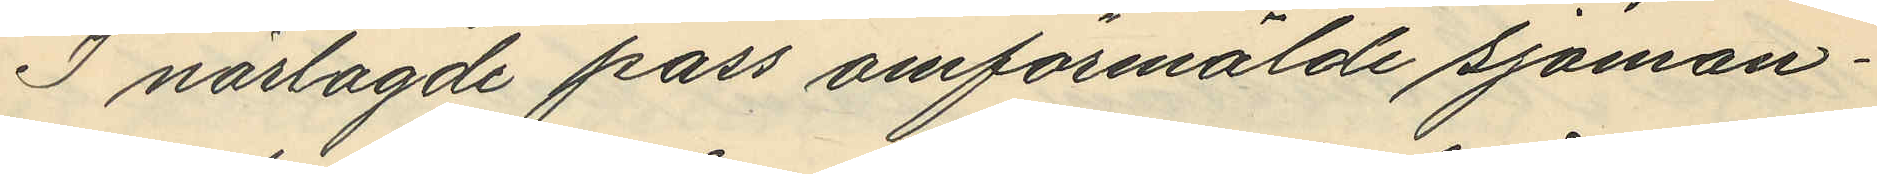I närlagde pass omförmålde sjöman¬
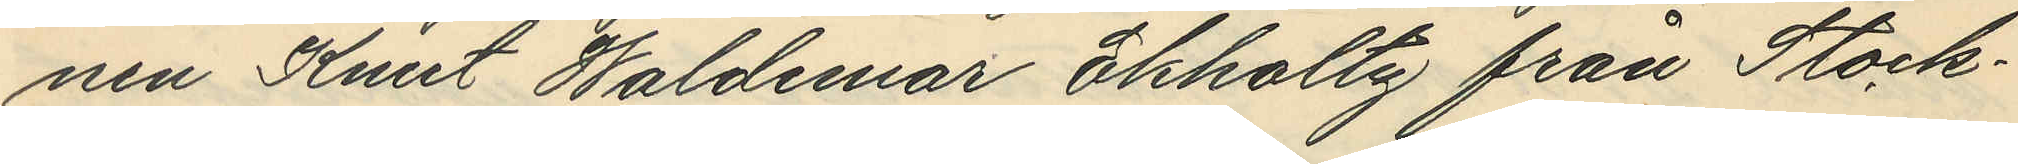nen Knut Waldemar Ekholtz från Stock¬
